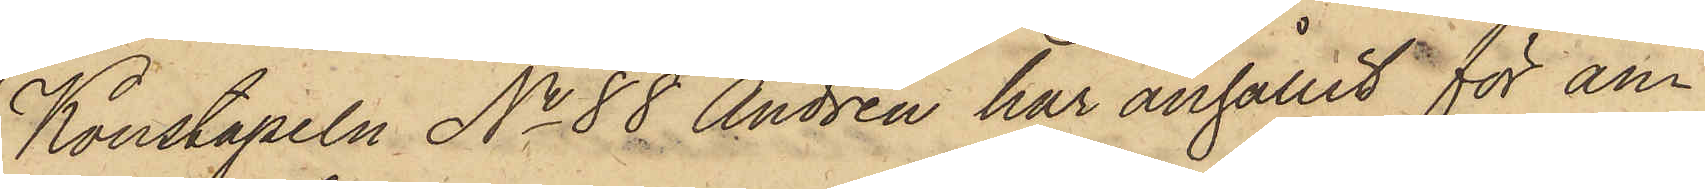Konstapeln No 88 Andrén har anhållit för an¬
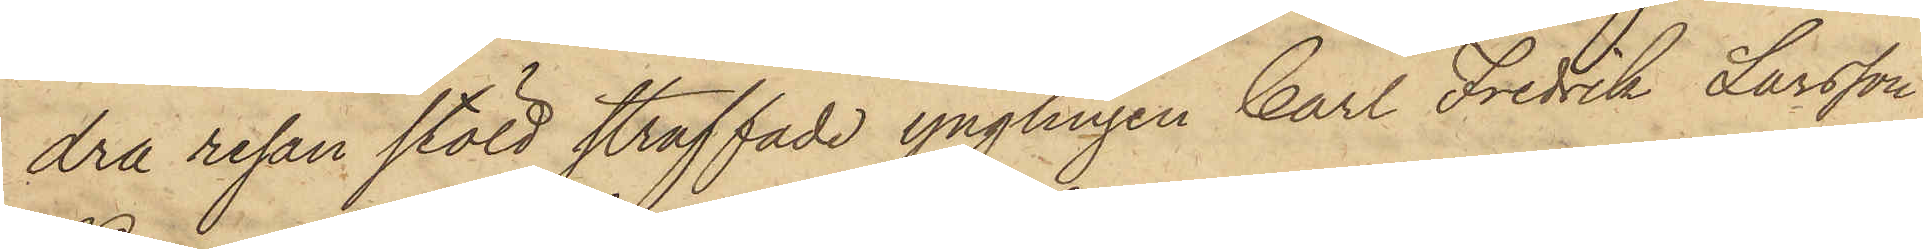dra resan stöld straffade ynglingen Carl Fredrik Larsson
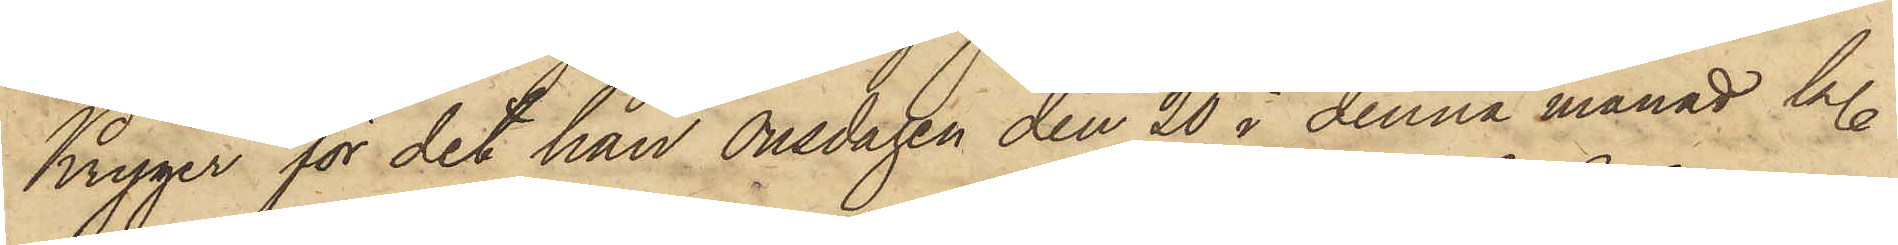Kryger för det han Onsdagen den 20 i denna månad kl.
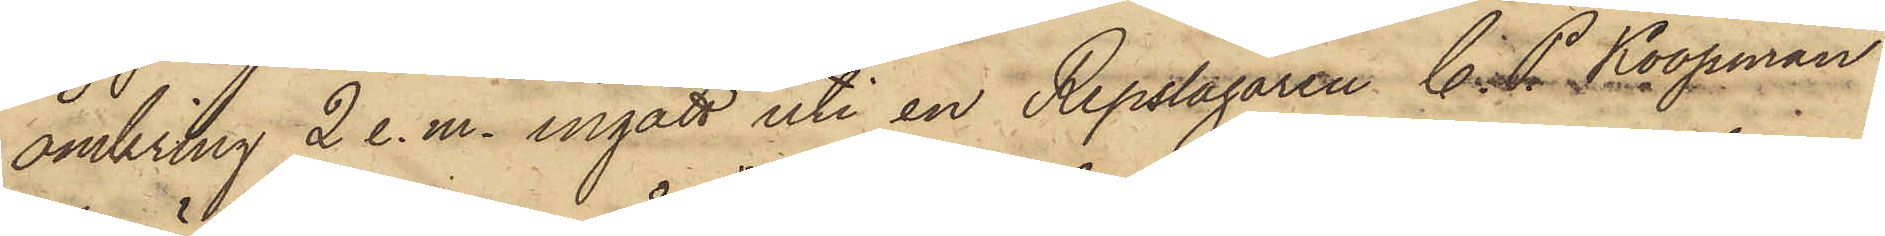omkring 2 e.m. ingått uti en Repslagaren C. P. Koopman
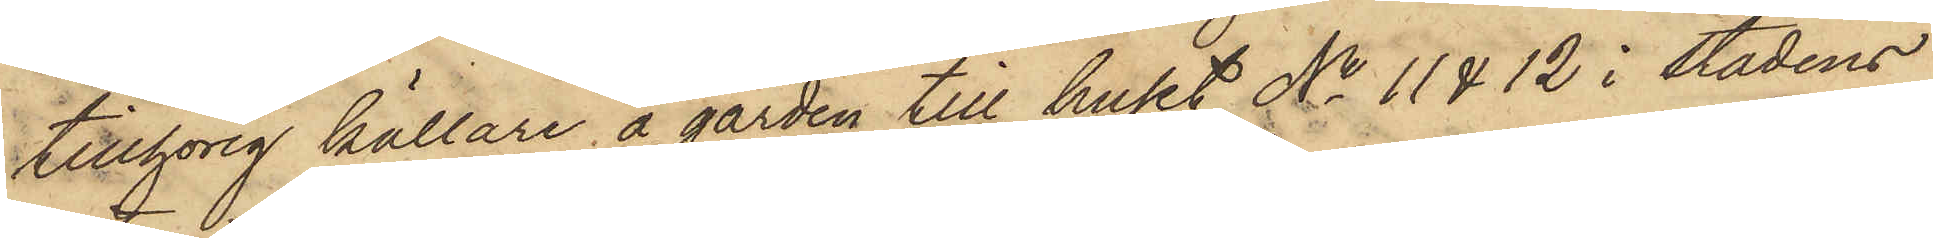tillhörig källare å gården till huset No 11 & 12 i Stadens
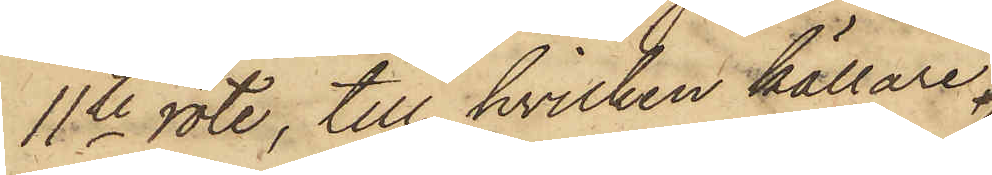11te rote, till hvilken källare,
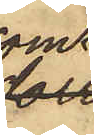som
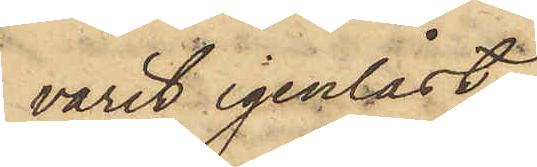varit igenlåst
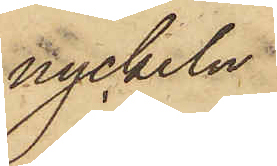nyckeln
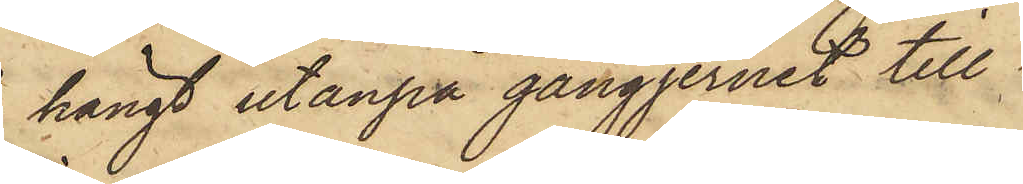hängt utanpå gångjernet till
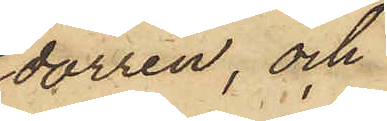dörren, och
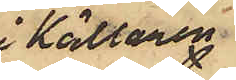i Källaren
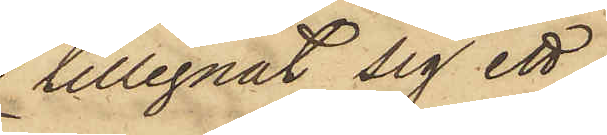tillegnat sig ett
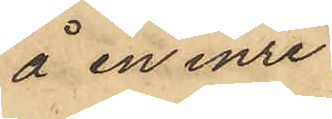å en inre
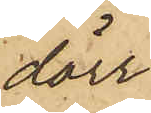dörr
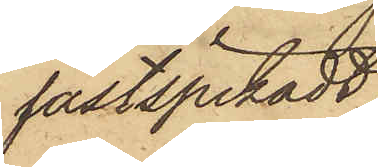fastspikadt
